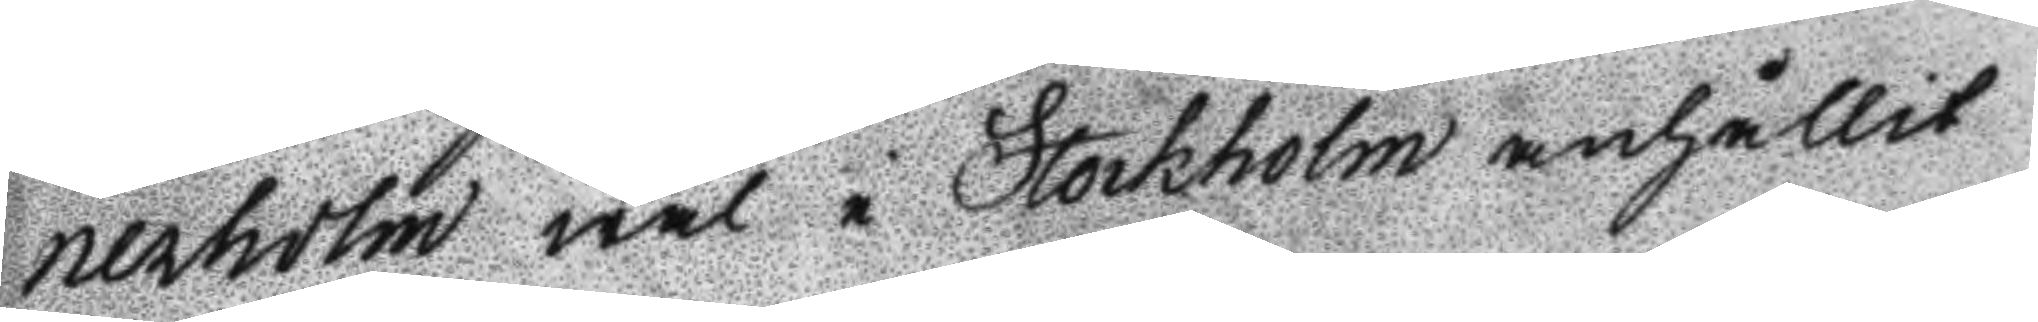nerholm wäl i Stockholm anhållit
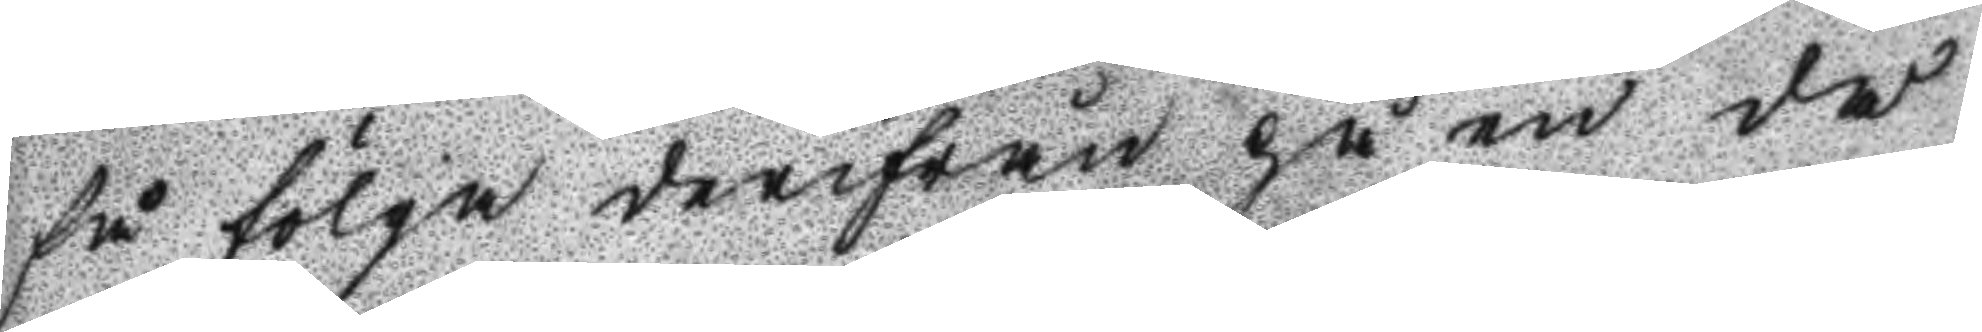få fölga derifrån på en då
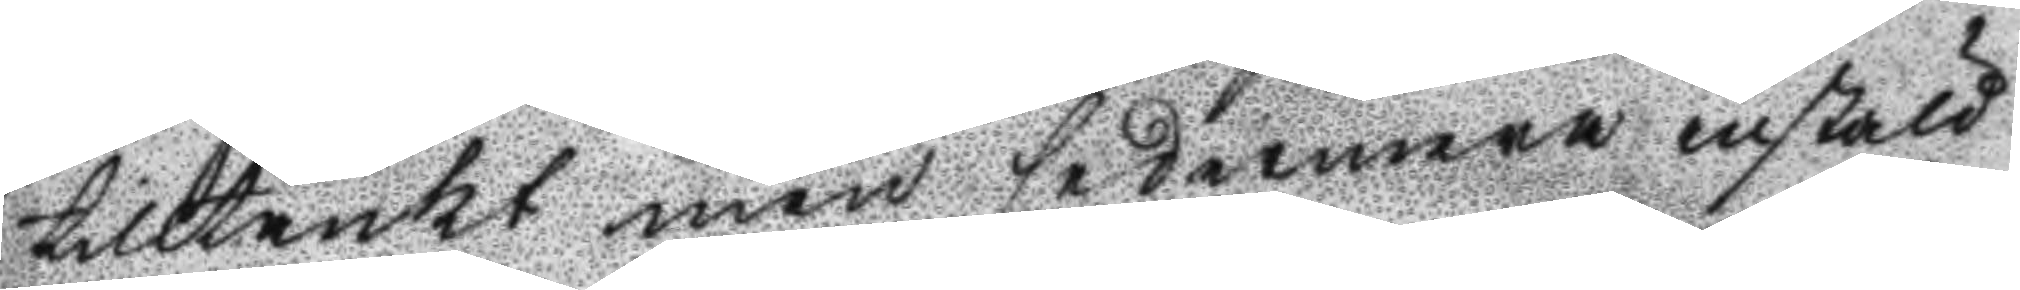tilltänkt men sedermera instäld
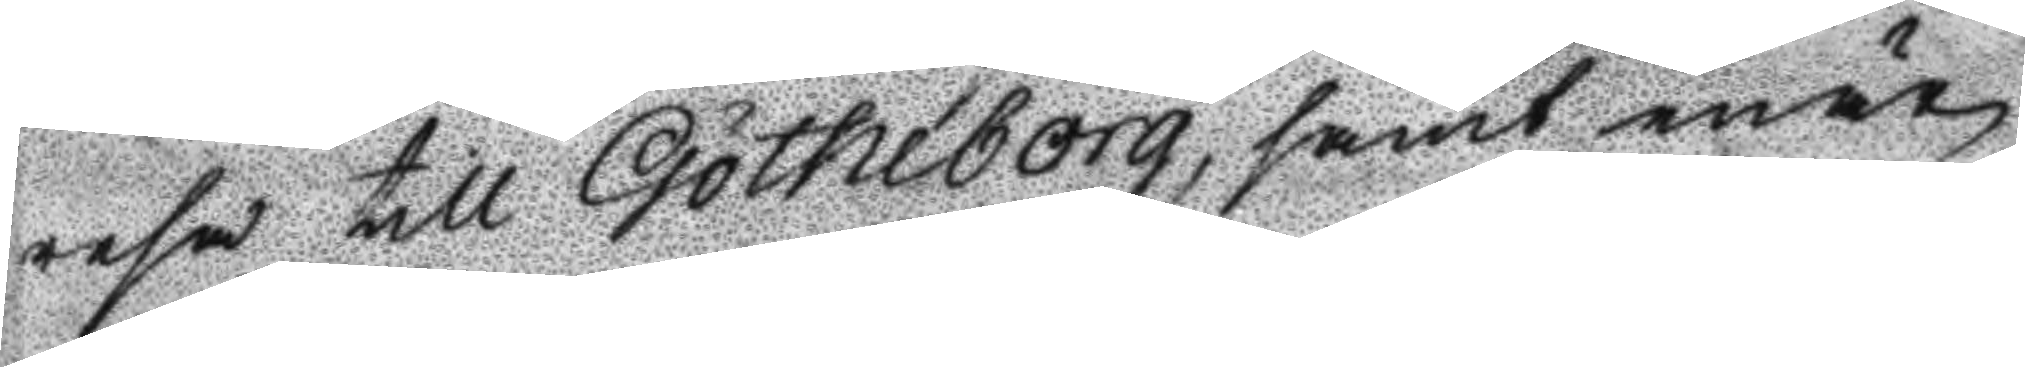resa till Götheborg, samt enär
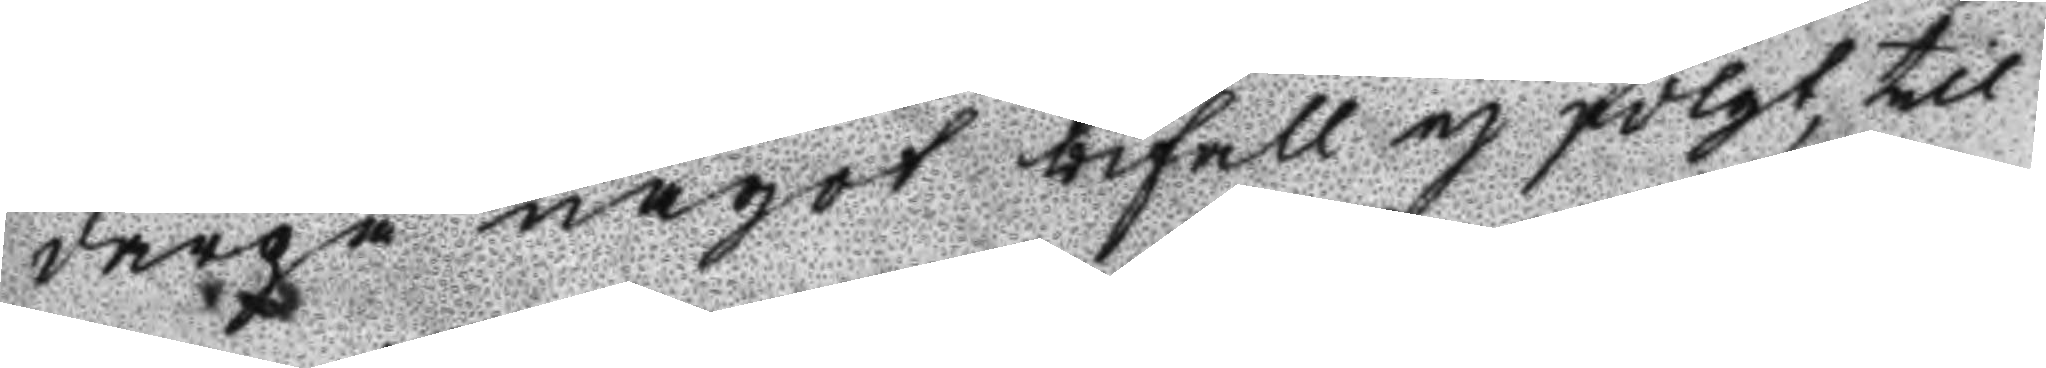därpå något bifall ej fölgt, till
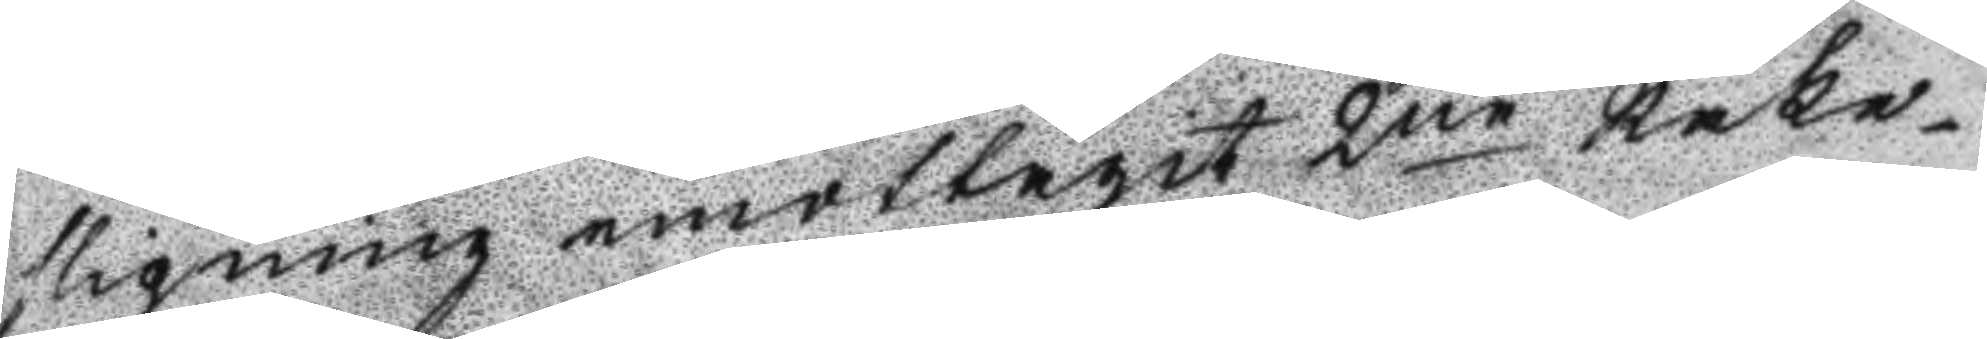slipning emottagit 2ne Rake¬
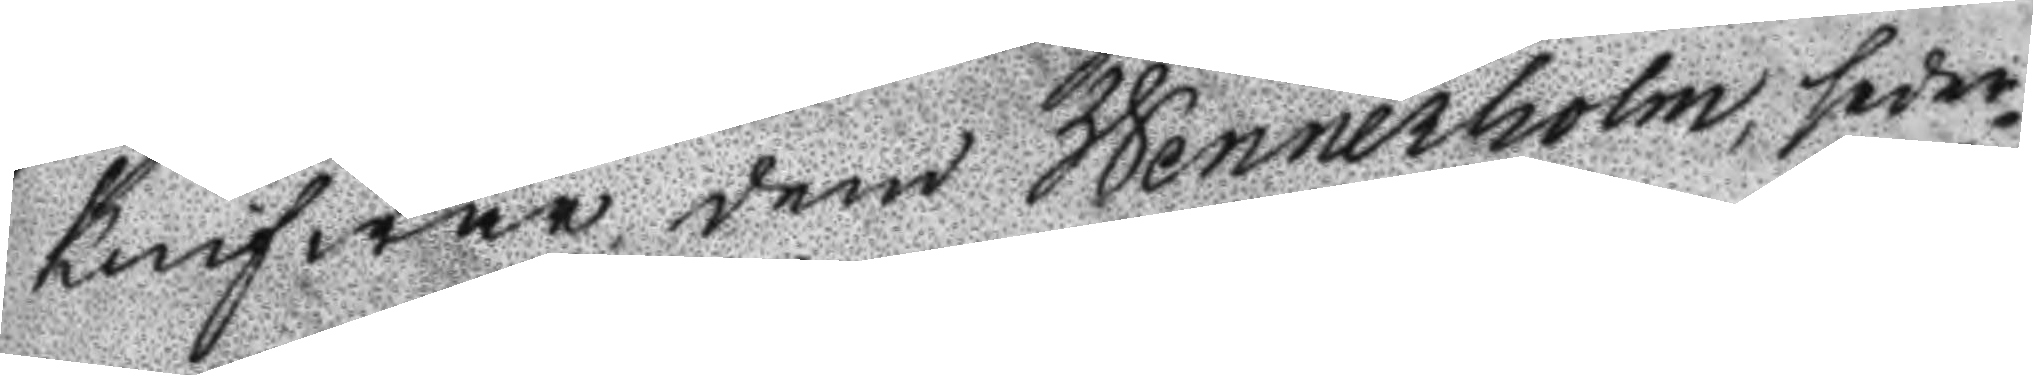knifwar dem Wennerholm, seder¬
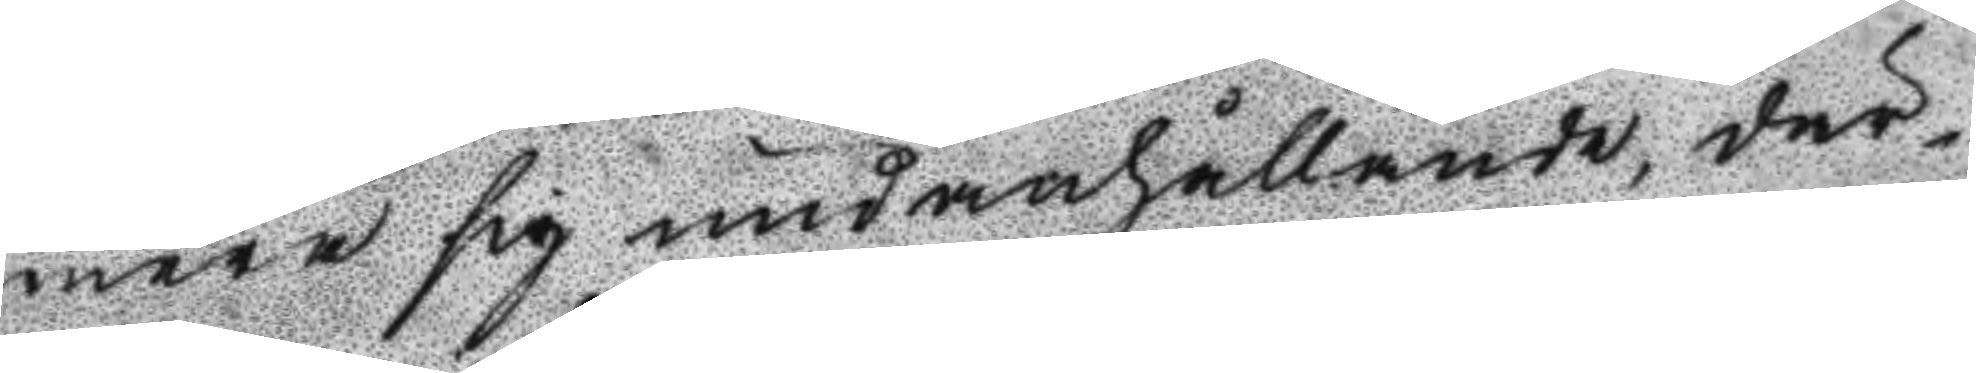mera sig undanhållande, där¬
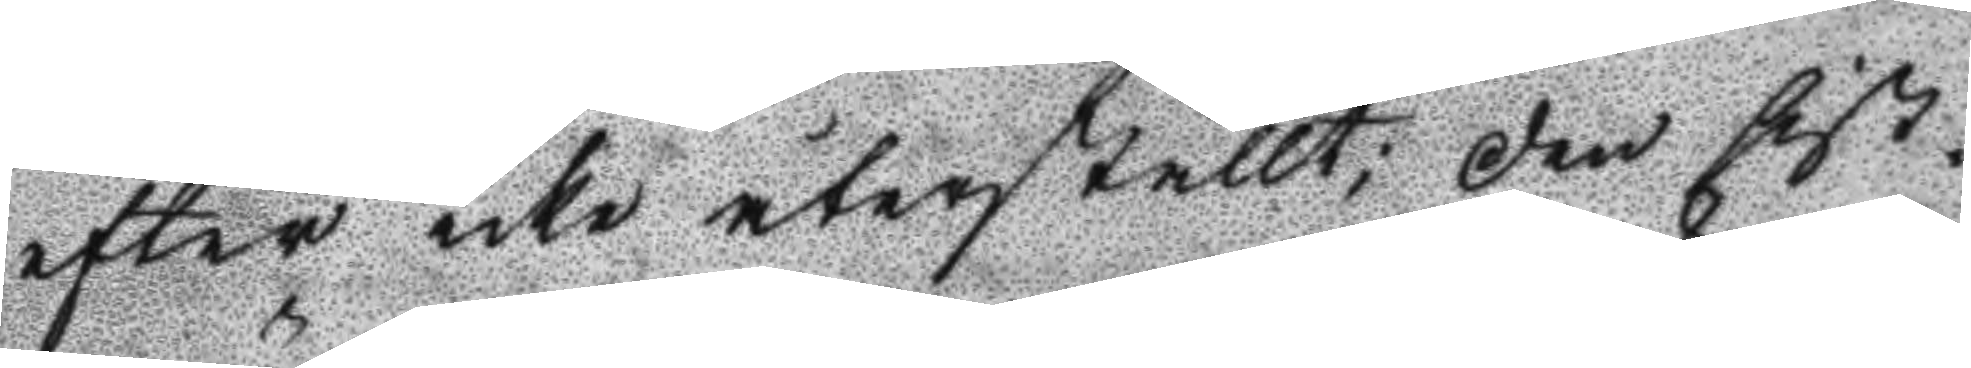efter icke återställt; den sist¬
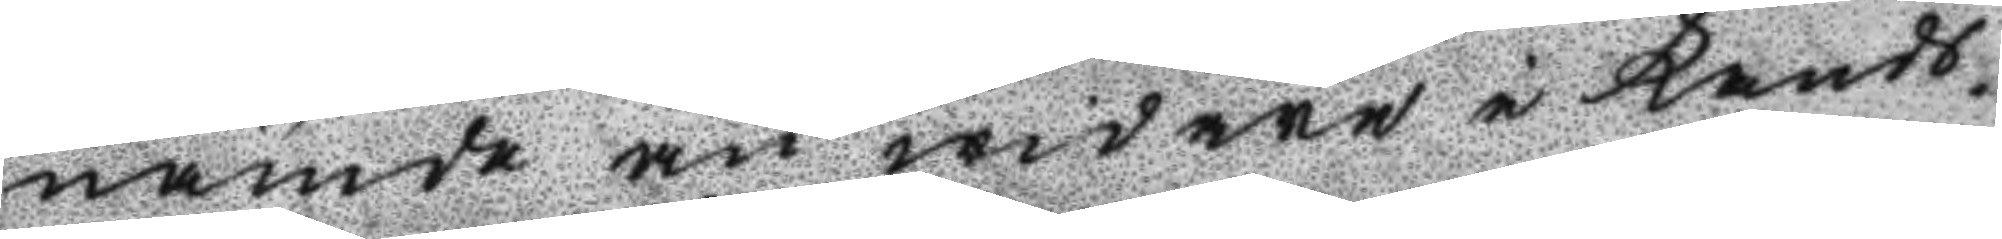nämde än widare i Kandt¬
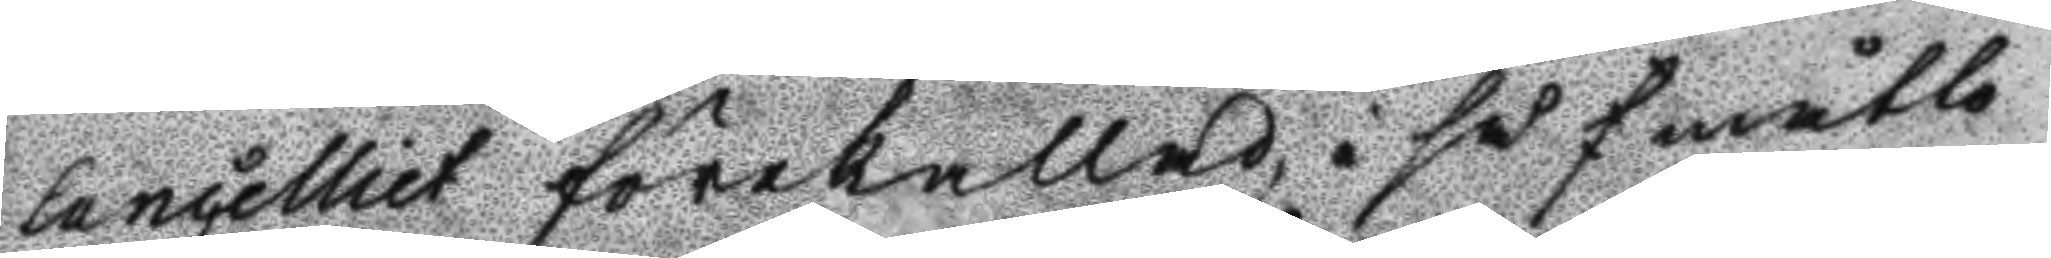lancelliet förekallad, i så f måtto
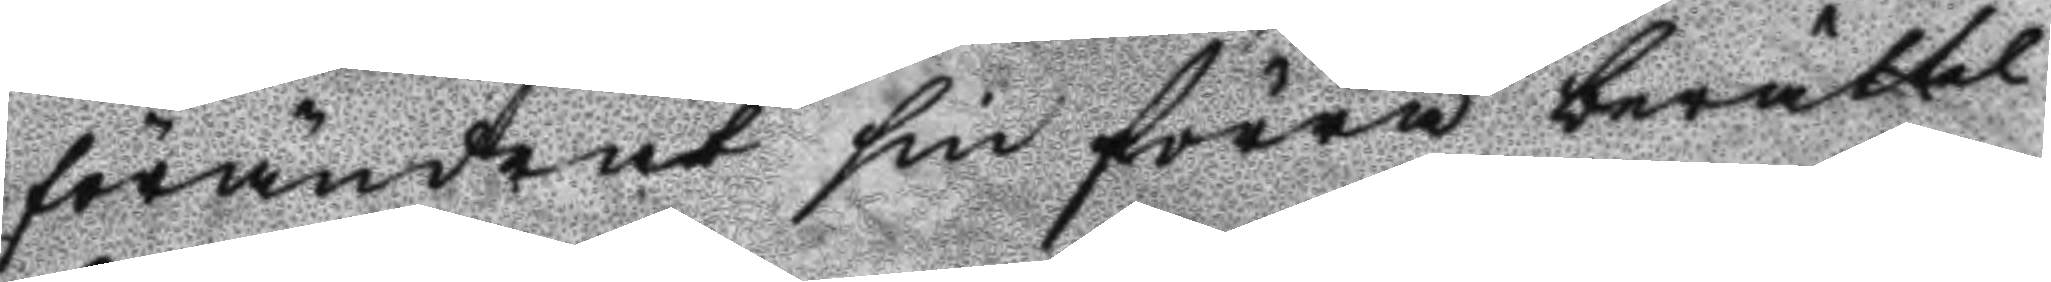förändrat sin förra berättel¬
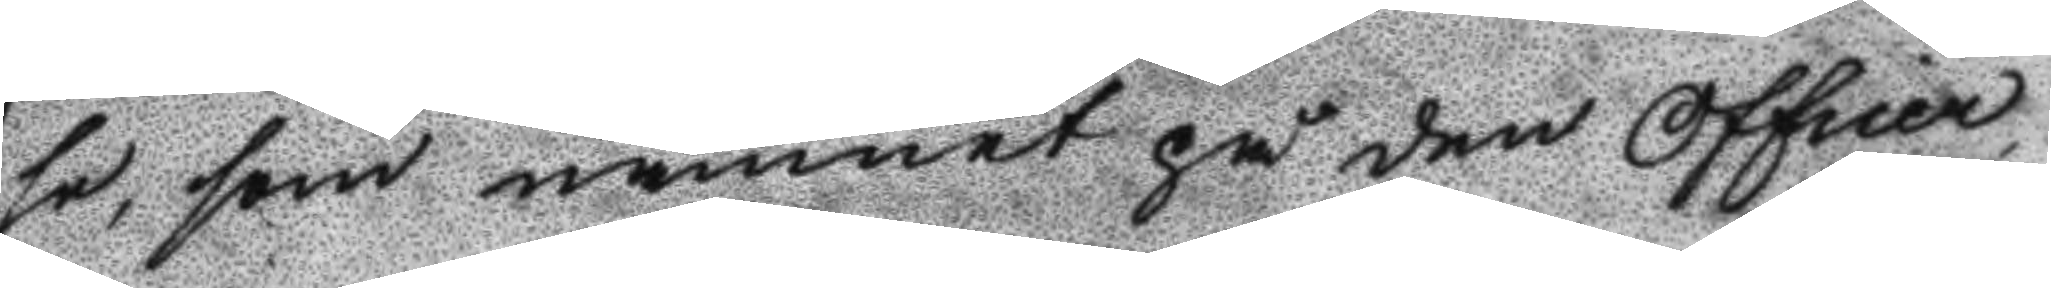se, som namnet på den Officer
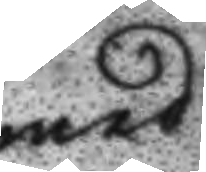med
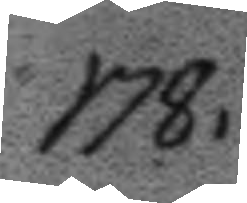178.
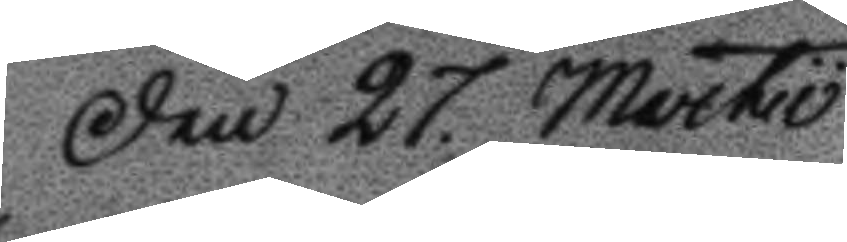Den 27. Martio
